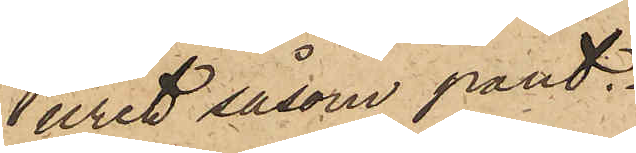uret såsom pant.
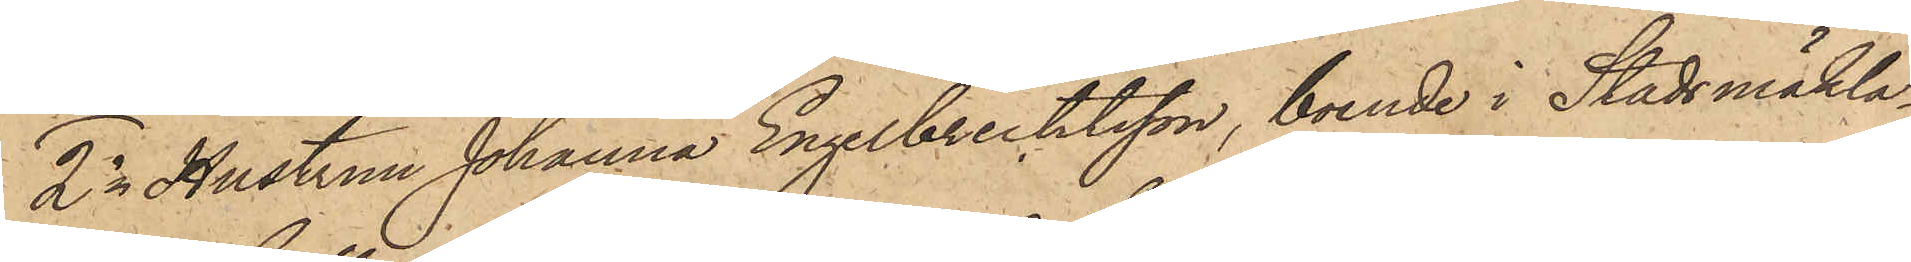2o Hustrun Johanna Engelbrektsson, boende i Stadsmäkla¬
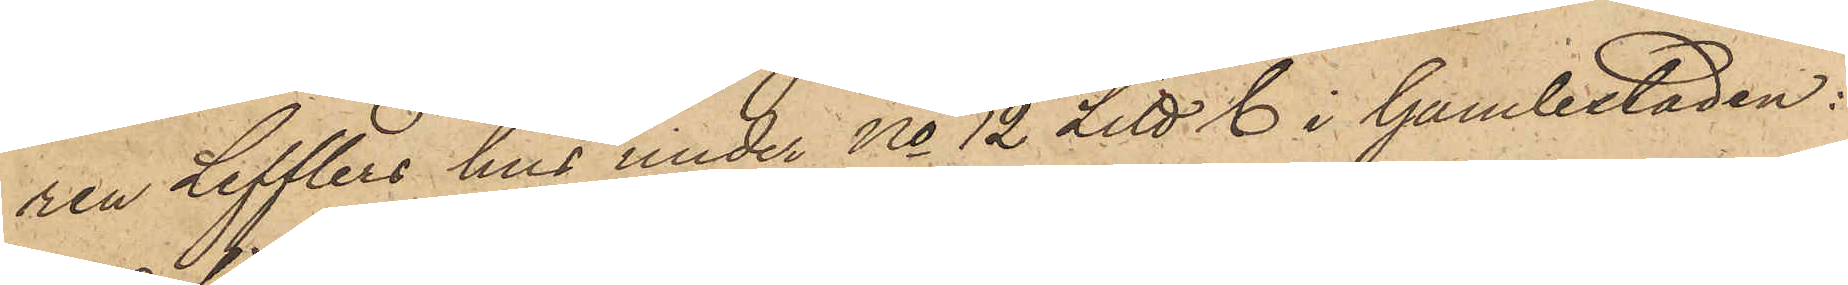ren Lefflers hus under No 12 Litt. C i Gamlestaden:
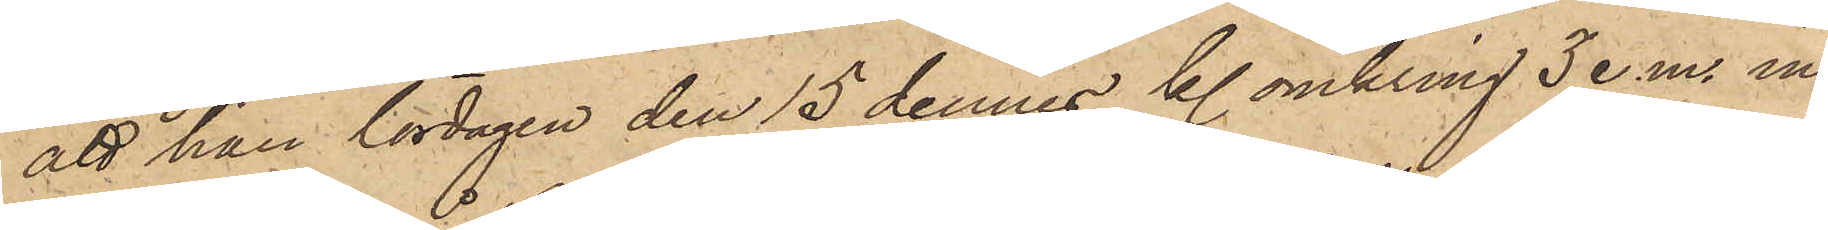att hon lördagen den 15 dennes kl omkring 3 e.m. in¬
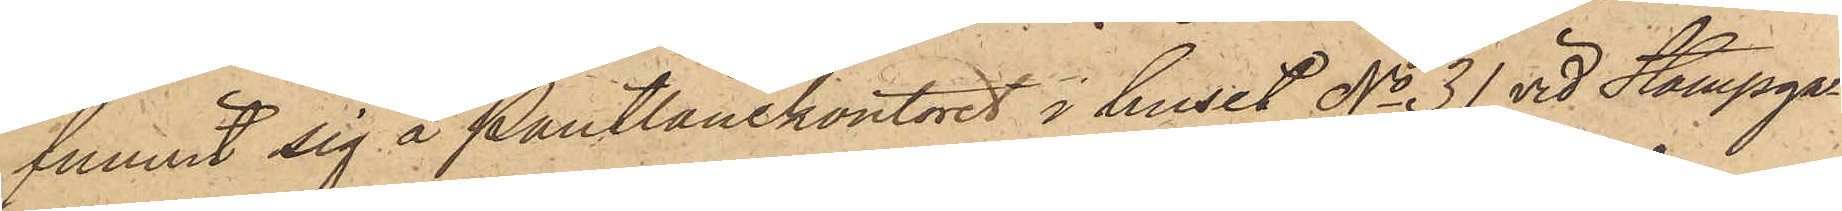funnit sig å Pantlånekontoret i huset No 31 vid Stampga¬
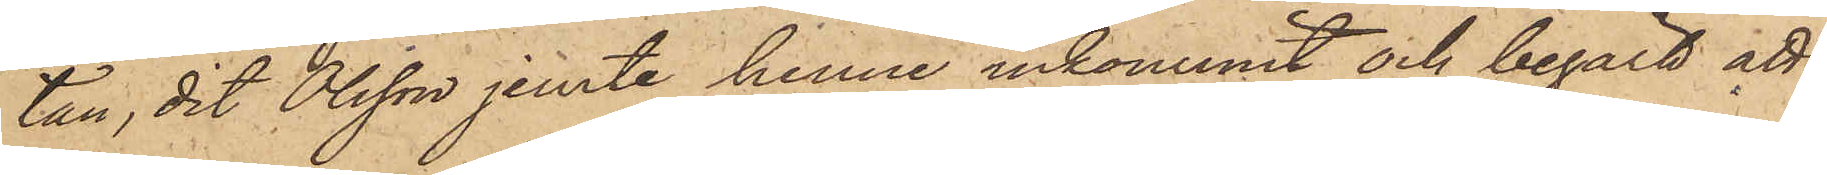tan, dit Olsson jemte henne inkommit och begärt att
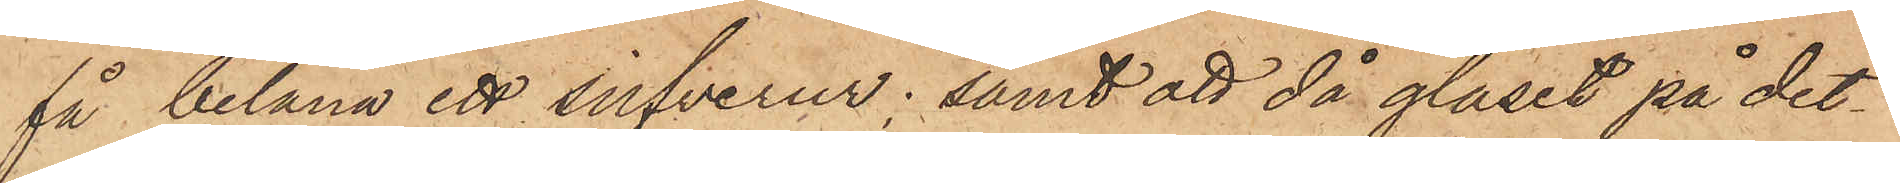få belåna ett silfverur; samt att då glaset på det¬
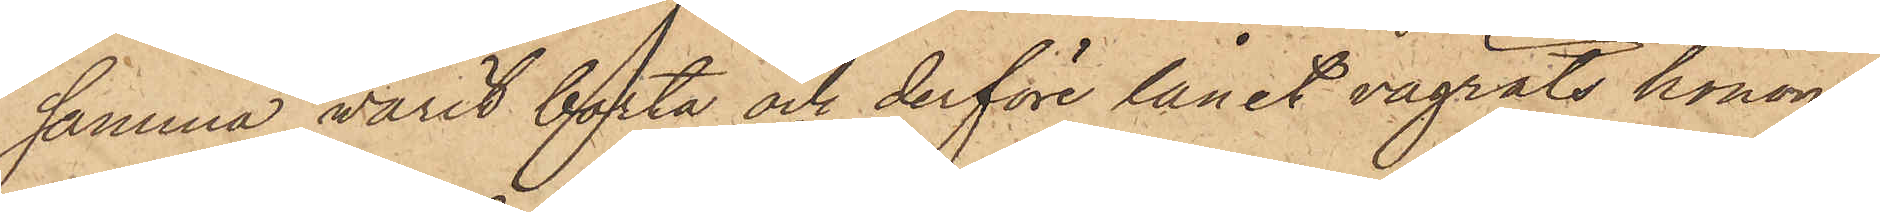samma varit borta och derföre lånet vägrats honom,
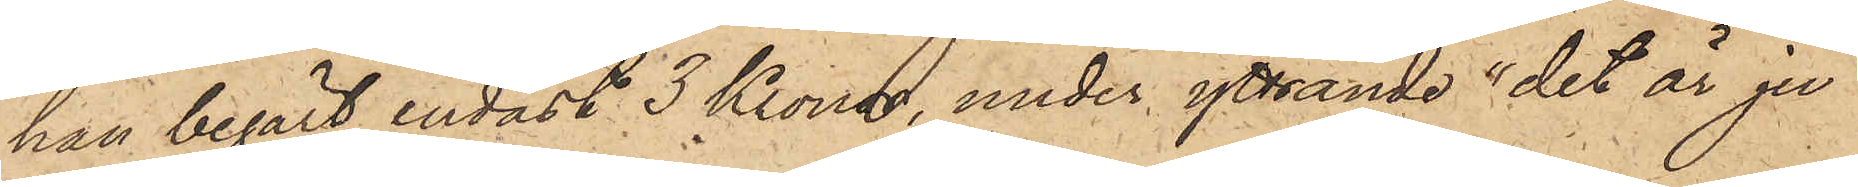han begärt endast 3 Kronor, under yttrande "det är ju
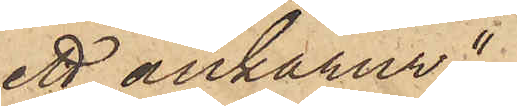ett ankarur".
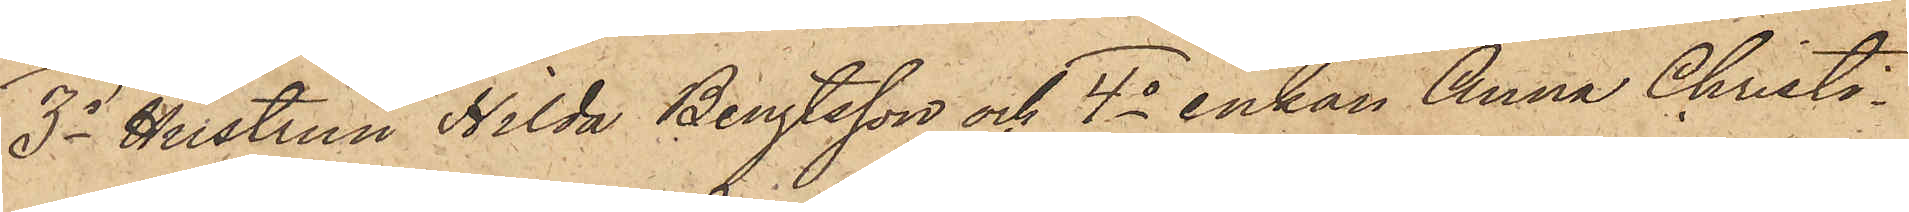3o Hustrun Hilda Bengtsson och 4o enkan Anna Christi¬
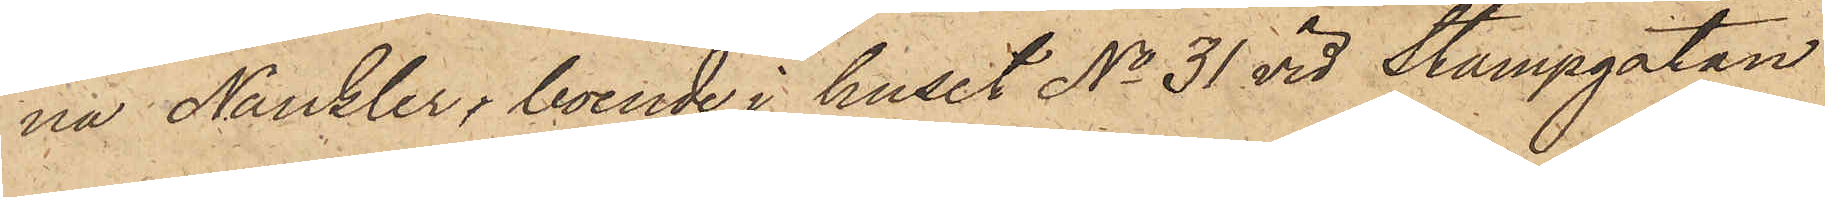na Naucler, boende i huset No 31 vid Stampgatan
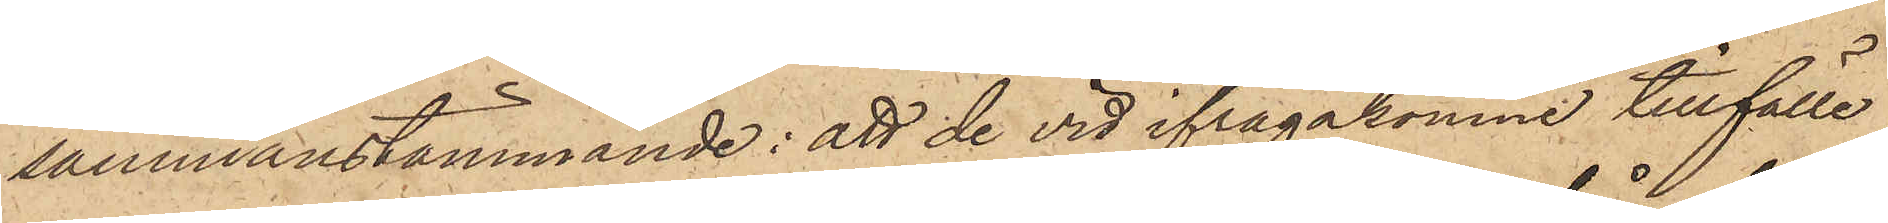sammanstämmande: att de vid ifrågakomne tillfälle
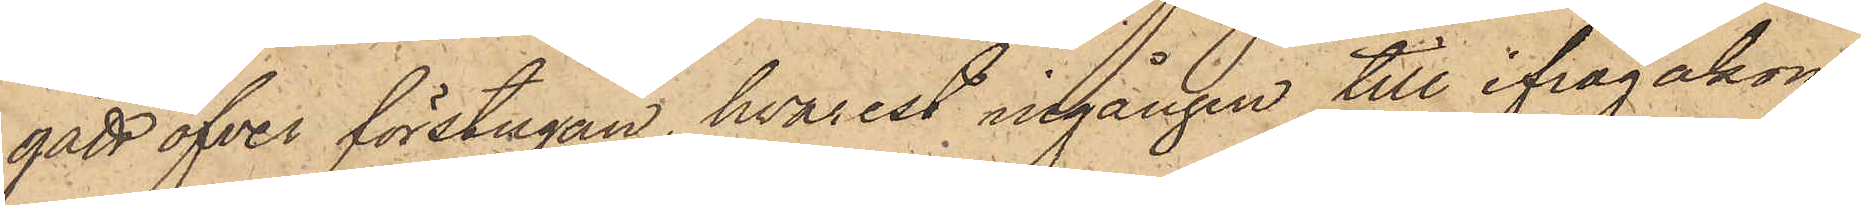gått öfver förstugan, hvarest ingången till ifrågakom¬
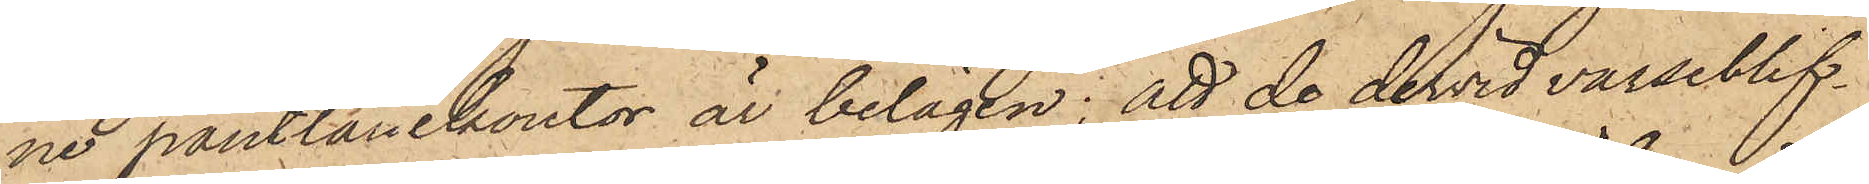ne pantlånekontor är belägen; att de dervid varseblif¬
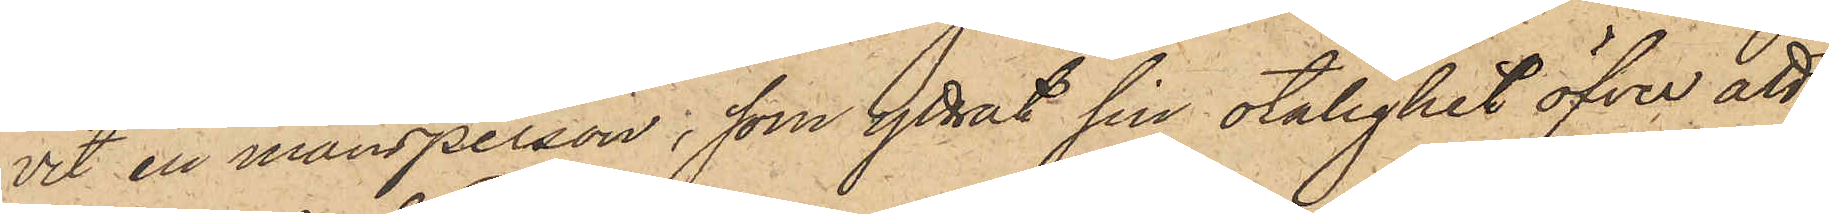vit en mansperson, som yttrat sin otålighet öfver att
